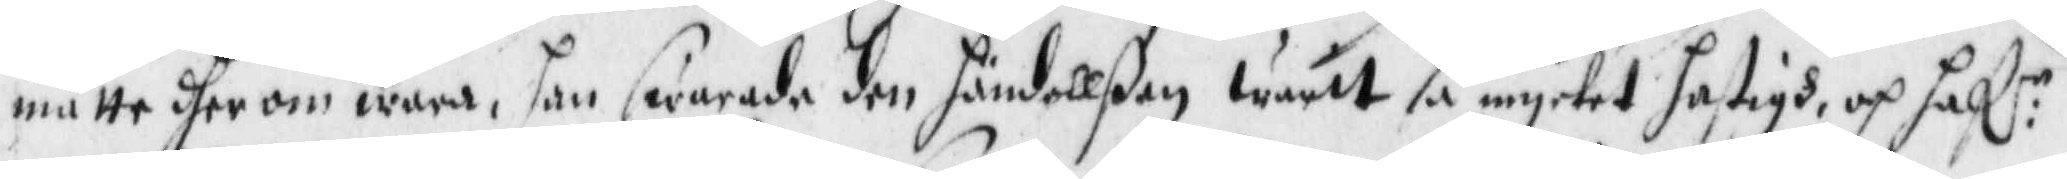måtte dherom wara, han swarade den hndellßen warit så mycket hastigh, och haf:r
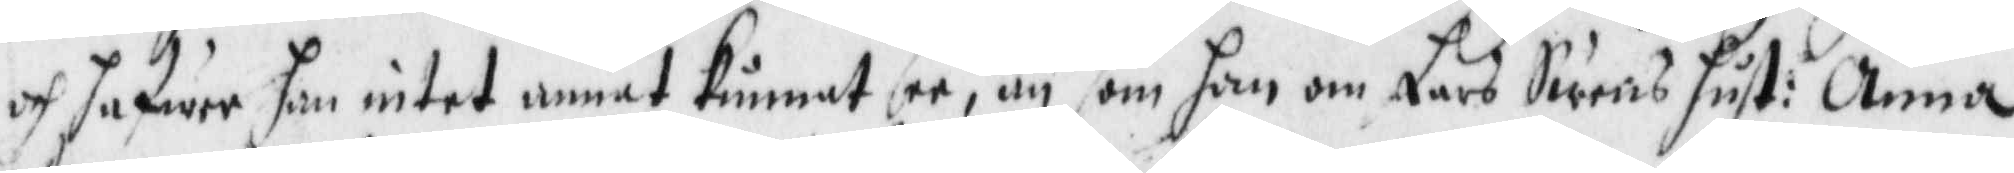och hafwer han intet annat kunnat be, än som han om Lars Swens hust: Anna
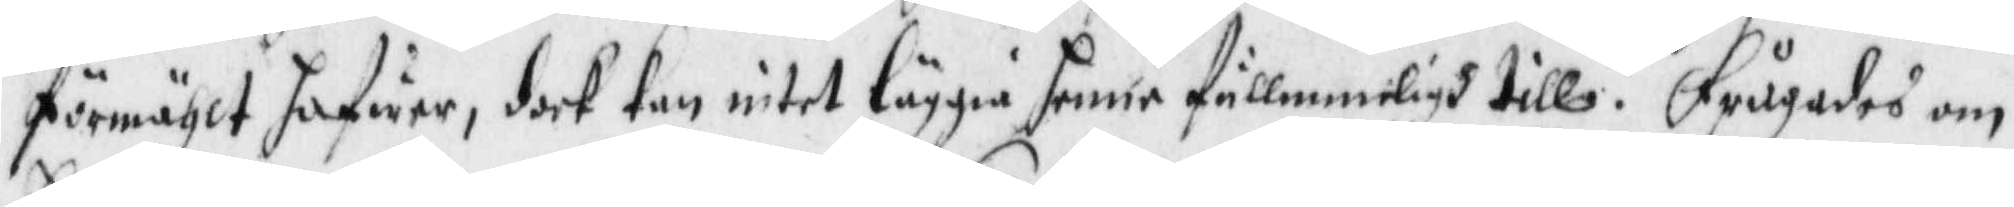förmählt hafwer, dock kan intet läggia henne fullmmeligh till. Frågades om
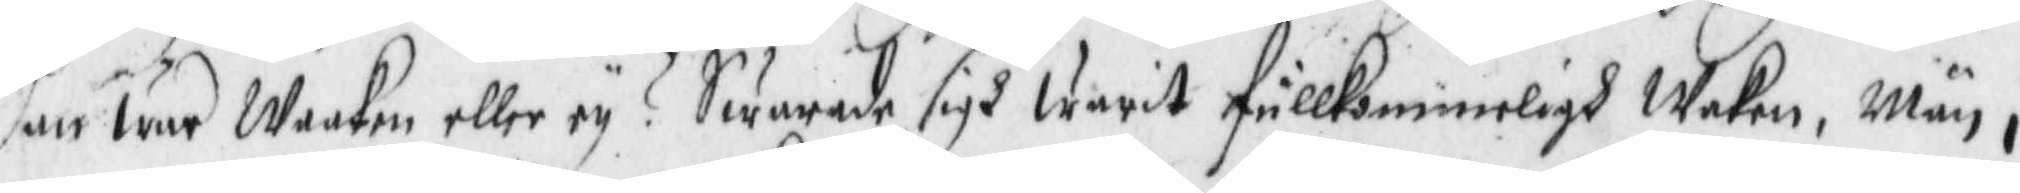han war Waaken eller ey? Swarade sigh warit fullkommeligh Wakenm Mäm i
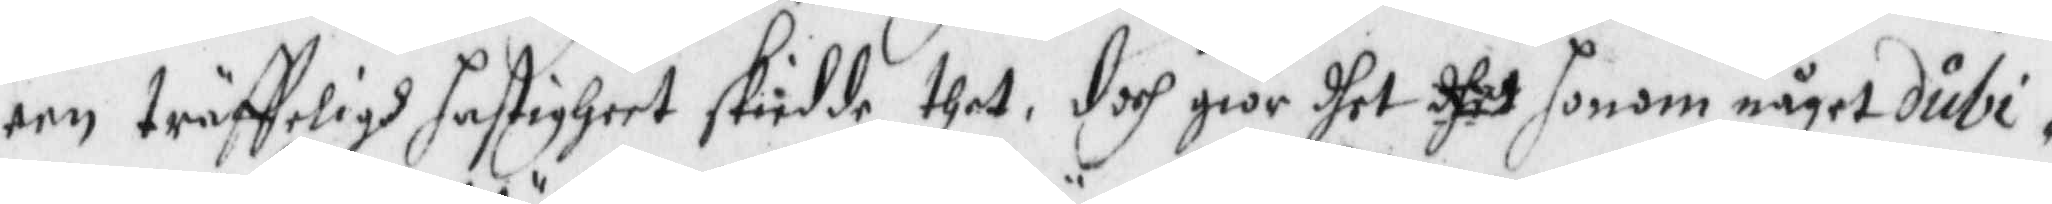een träffeligh hastigheet skiedde thet, doch giör dhet dhet honom något dubi¬
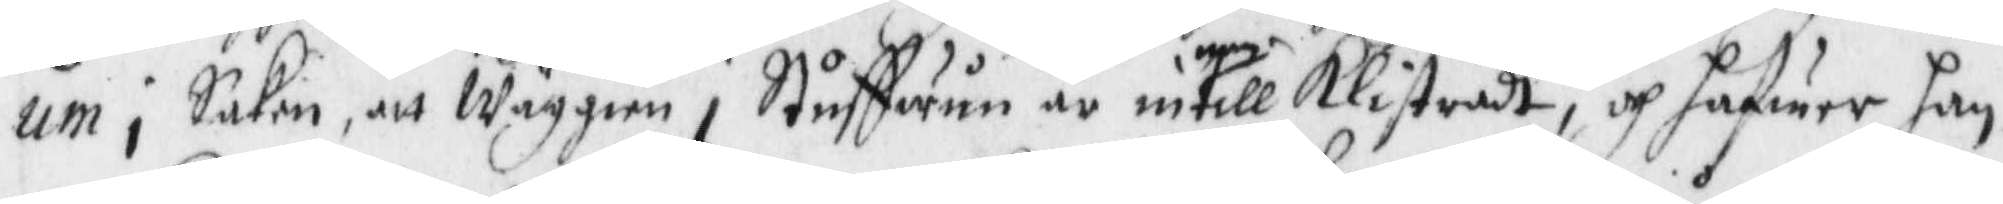um, Saken, att Wäggien i Stuffwun är intill Klistradt, och hafwer han
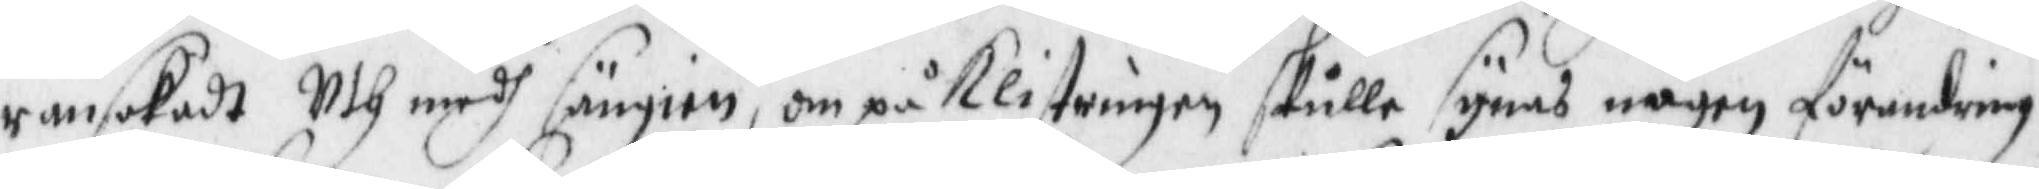ransakadt Uth medh sängien, om på Klistringen skulle synas någon förandring,
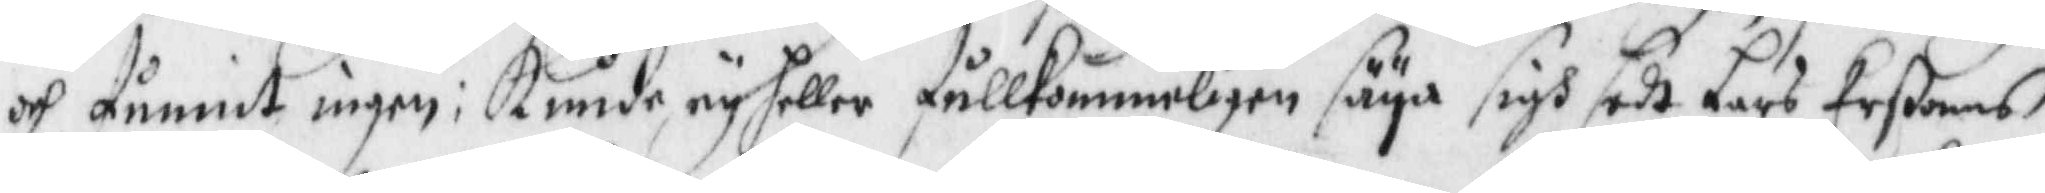och funnit ingen: kunde eu heller fullkombligen säya sigh sedt Lars Erßons
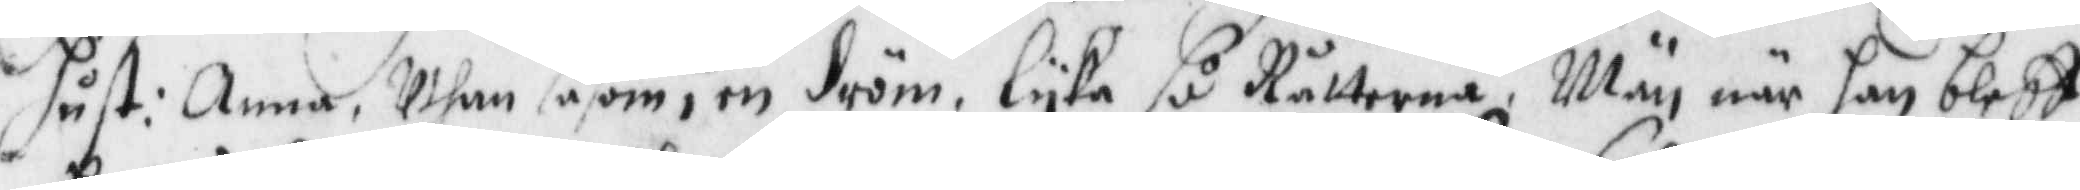hust: Anna, Uthan såsom i en dröm. Lyka så Råtterne, Män när han bleff 
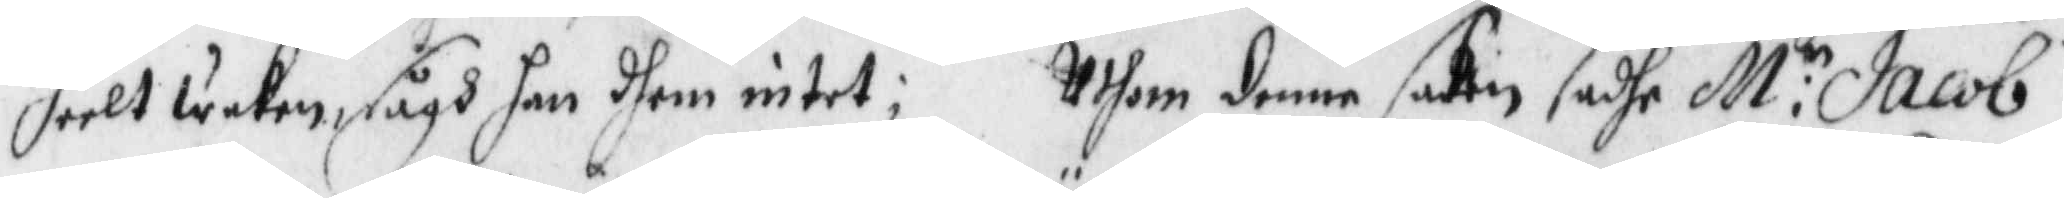heelt Wakenm sågh han dhem intet; Uthom denna saken sadhe M:r Jacob
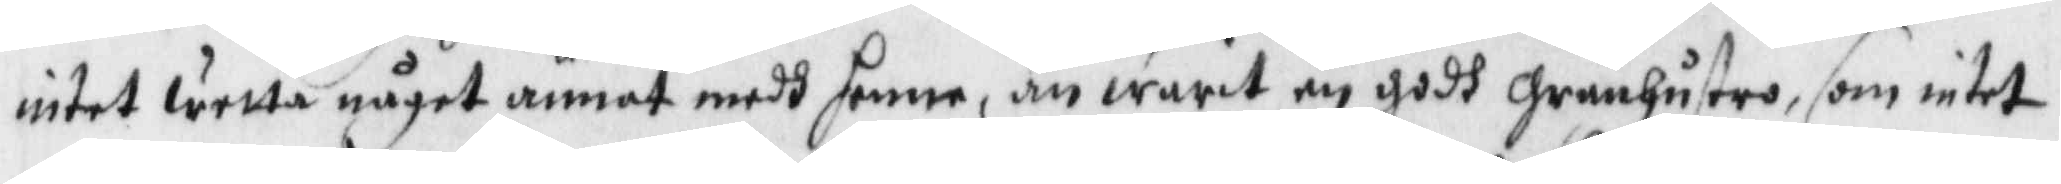intet wetta något annat medh henne, än warit en godh granhustro, som intet
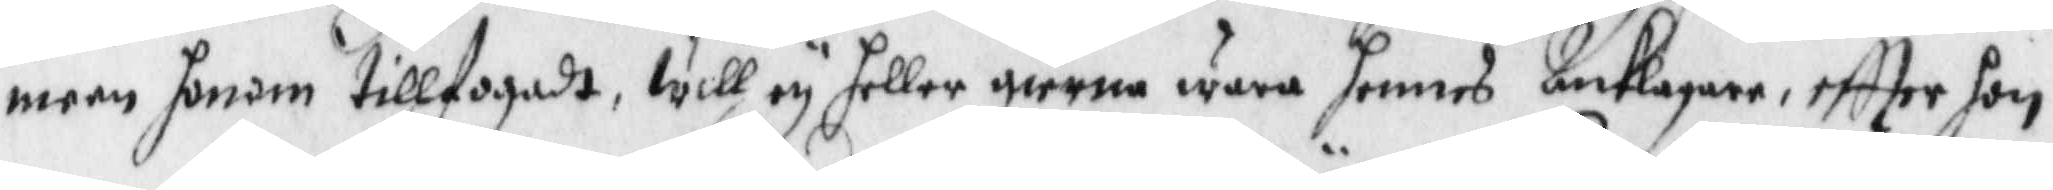meen honom tillfogadt, will ey heller gierna wara hennes Anklagare, eftter hon
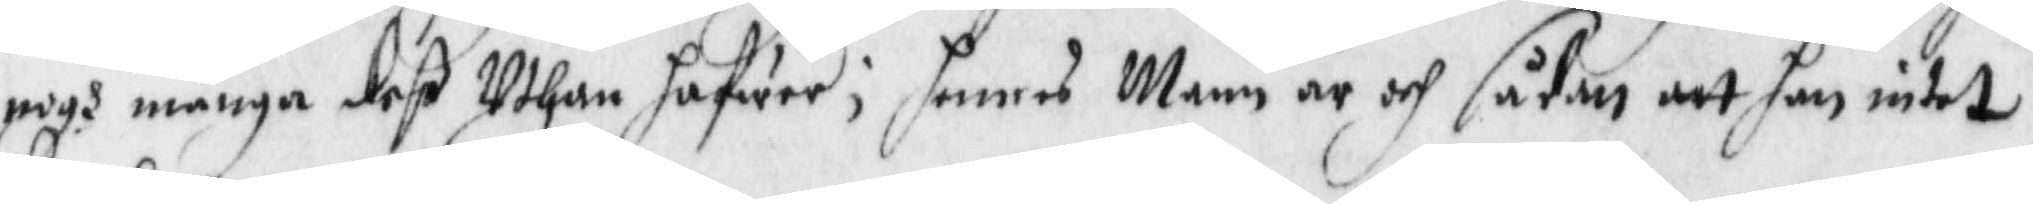nogh många deß Uthan hafwer; hennes Mann är och sådan att han intet
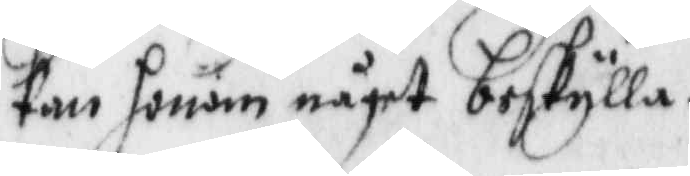kan honom något beskylla.
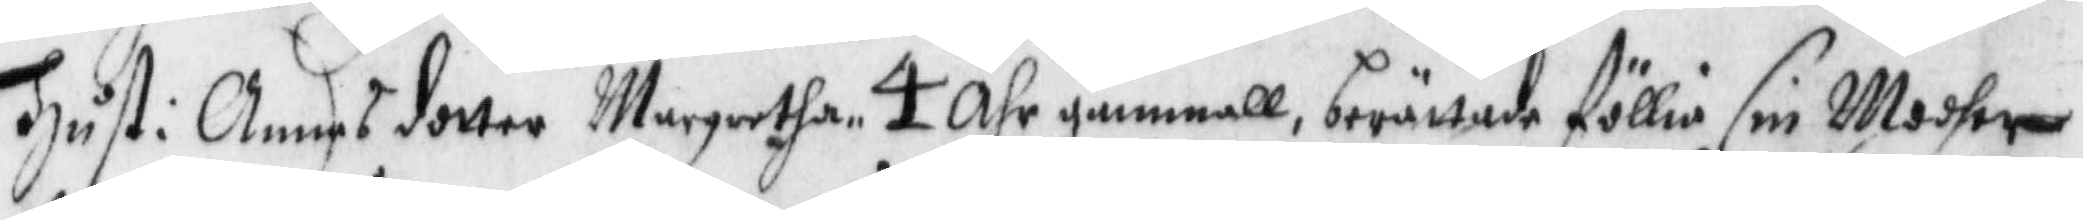Hust: Annas dotter Margretha 4 Åhr gammall, berättae föllia sin Modher
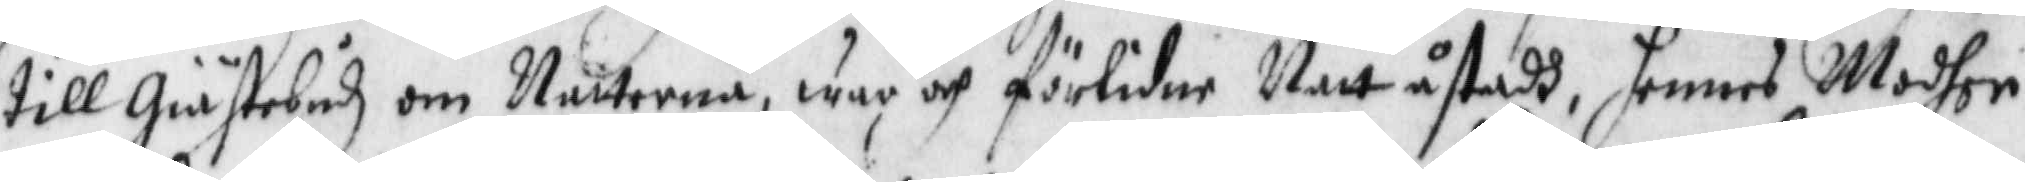till Giästebodz om Nätterne, war och förlidne Natt åstadh, hennes Modher
